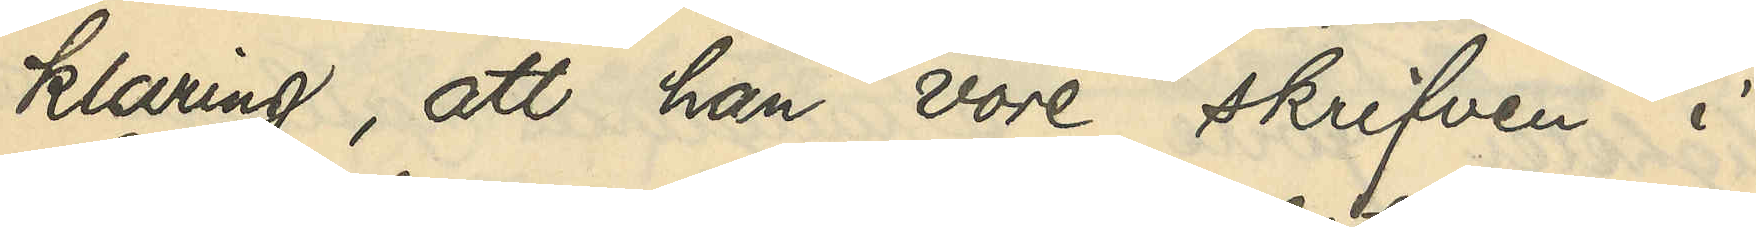klaring, att han vore skrifven i
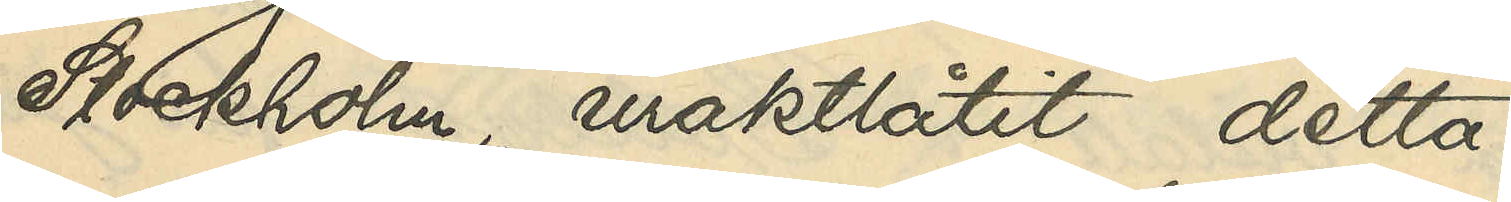Stockholm uraktlåtit detta.
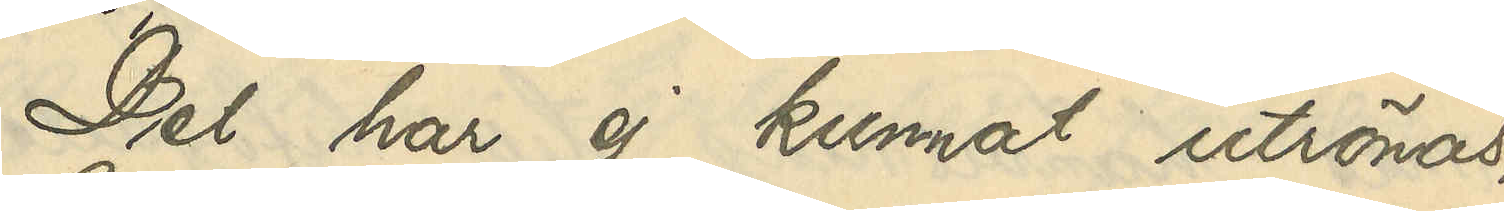Det ha ej kunnat utrönas,
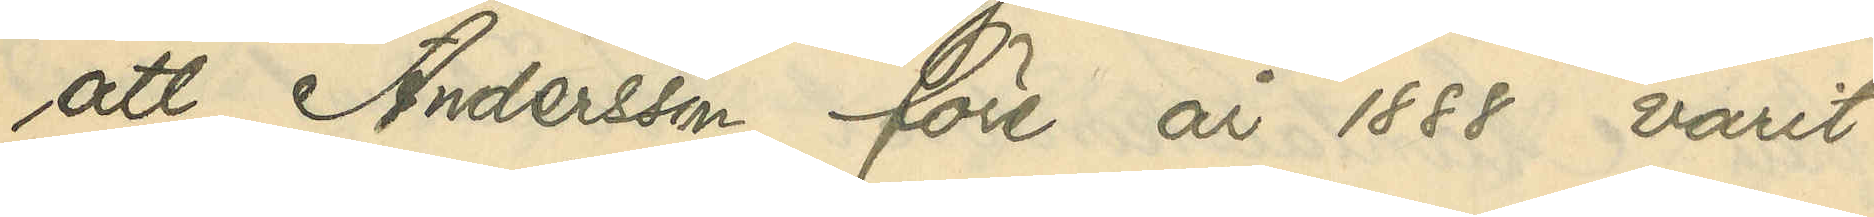att Andersson före år 1888 varit
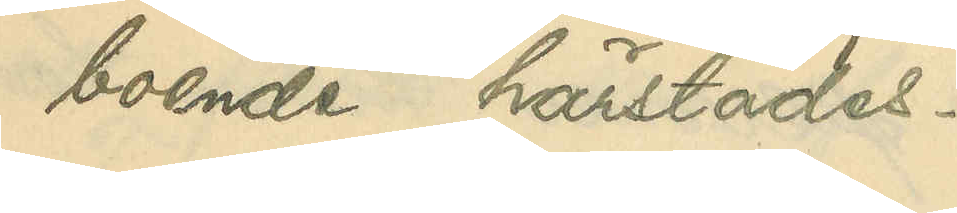boende härstädes.
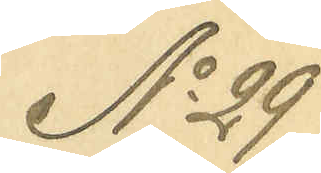No 29
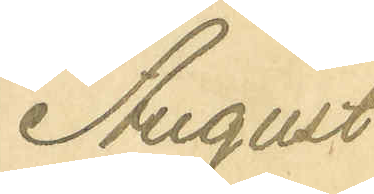August
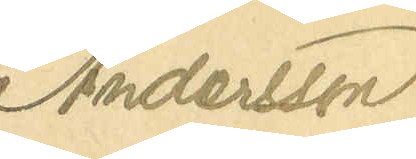Andersson
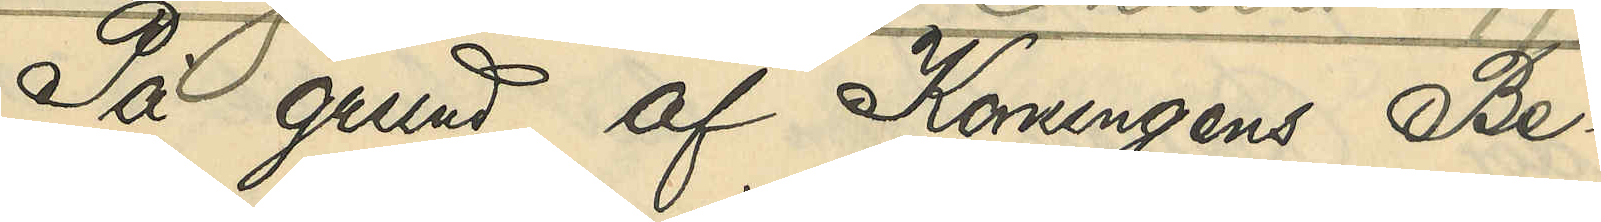På grund af Konungens Be¬
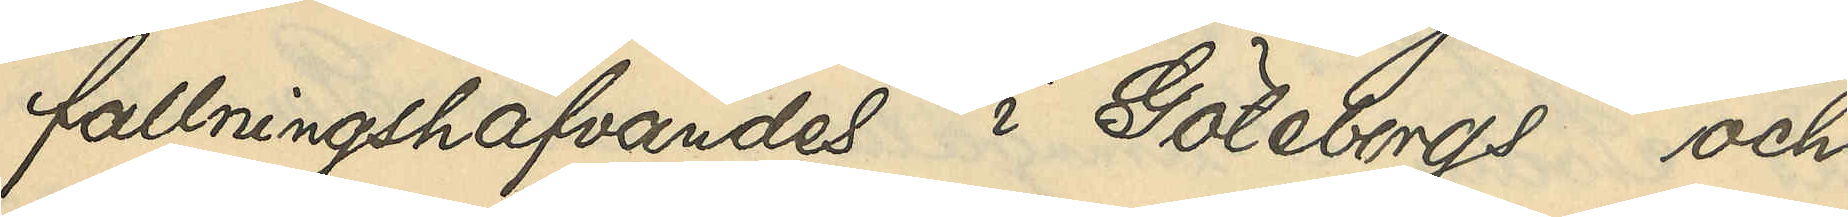fallningshafvandes i Göteborgs och 
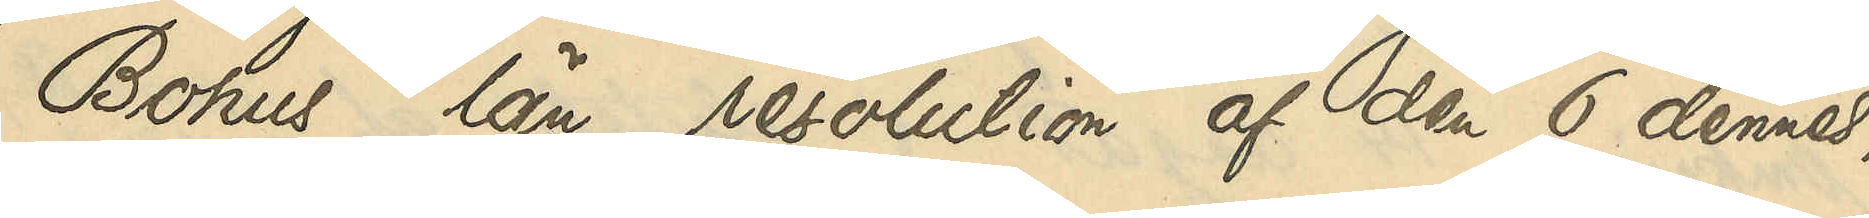Bohus län resolution af den 6 dennes,
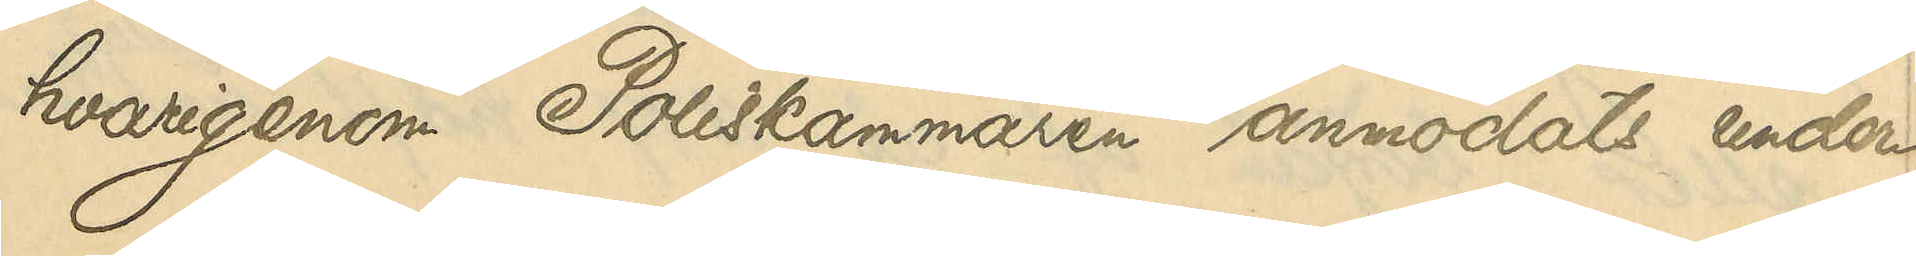havrigenom Poliskammaren anmodats under¬
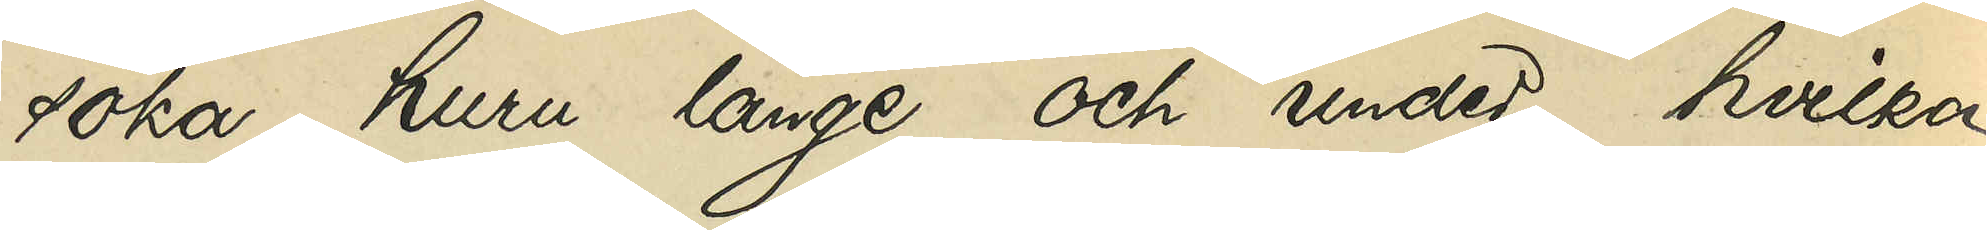söka, huru länge och under hvilka
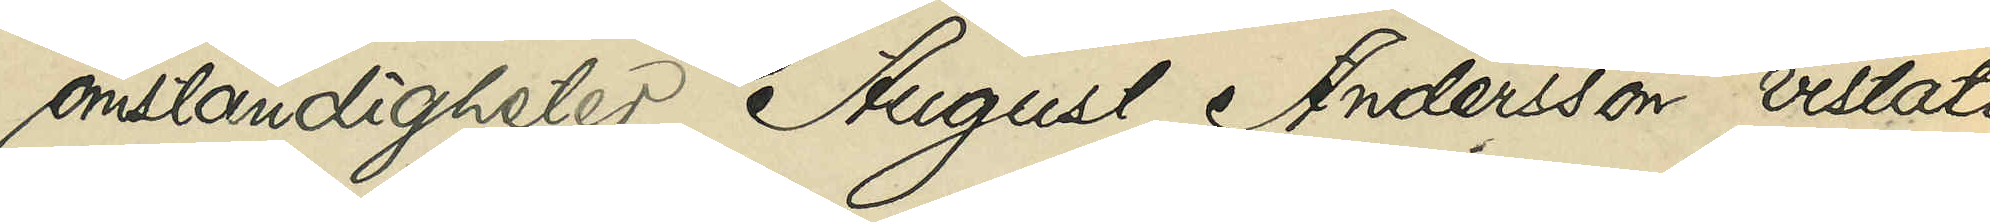omständigheter August Andersson vistats
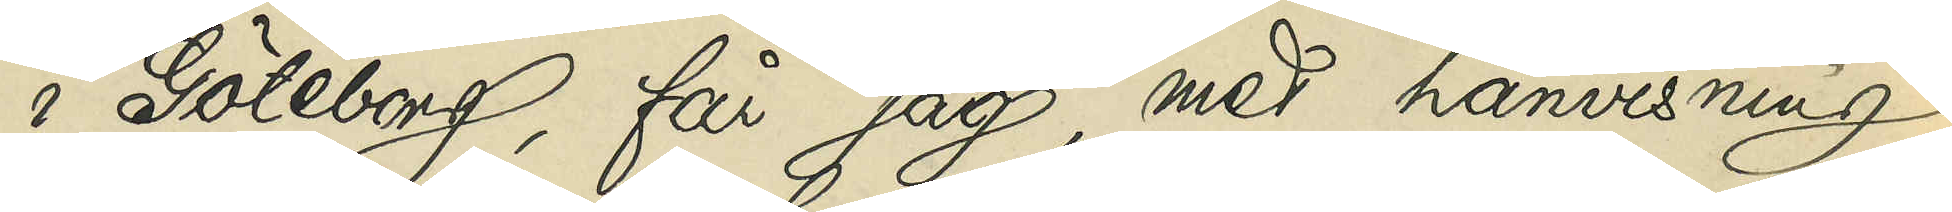i Göteborg, får jag, med hänvisning
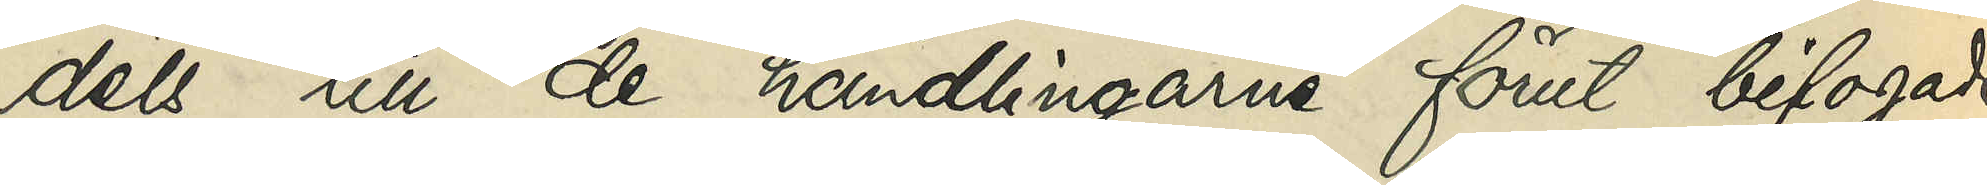dels till de handlingarne förut bifogade
